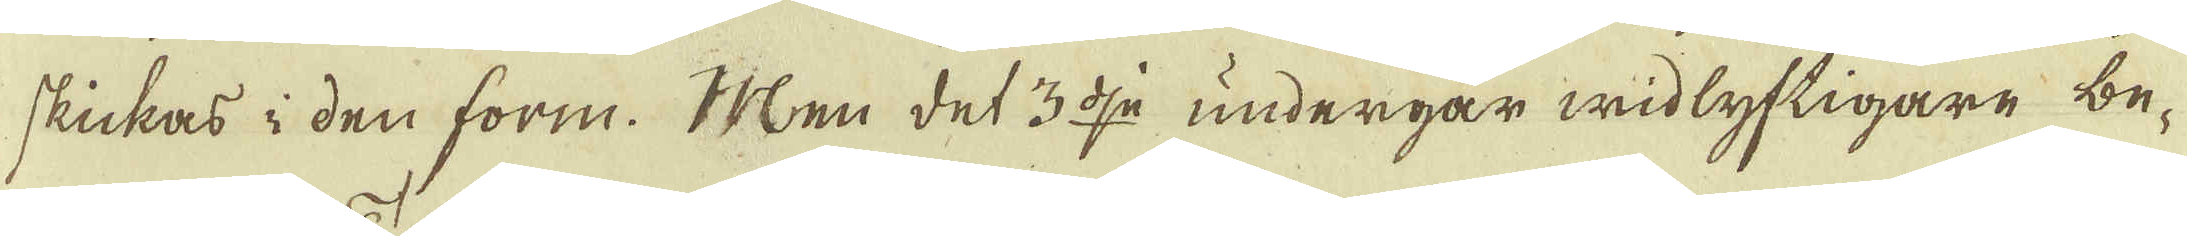skickas i den form. Men det 3:dje undergår widlyftigare be-
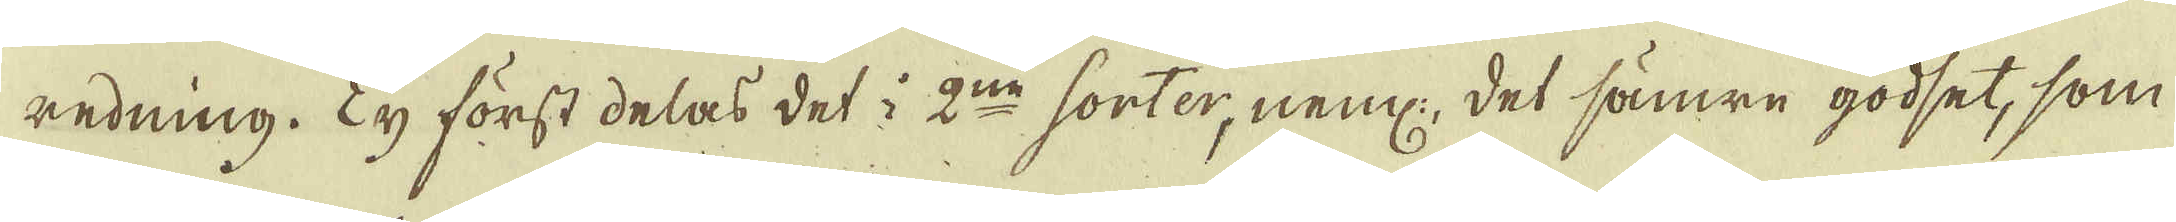redning. Ty först delas det i 2:ne sorter, neml: det sämre godset, som
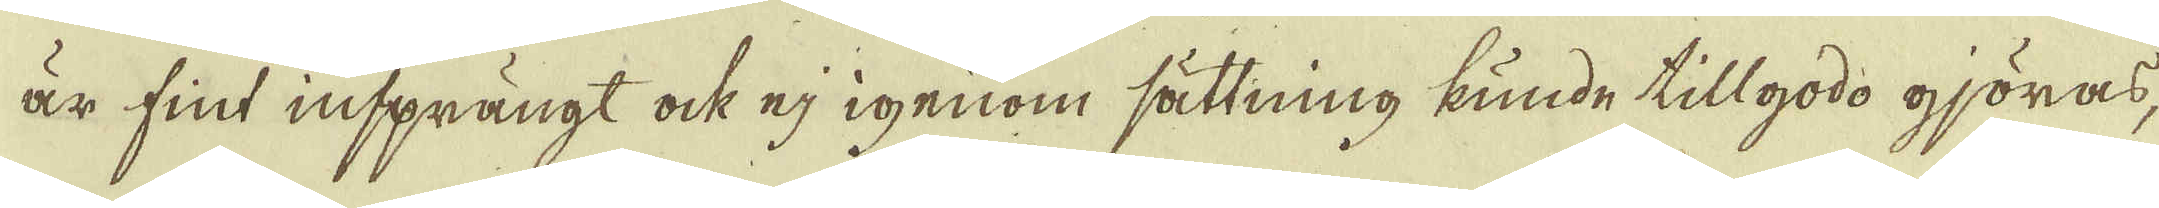är fint insprängt ock ej igenom sättning kunde tillgodo gjöras,
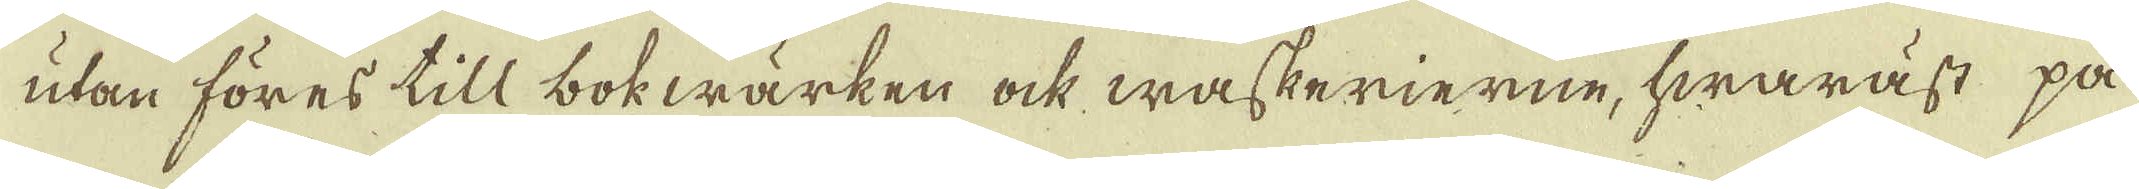utan föres till bokwärken ock waskerierne, hwaräst på
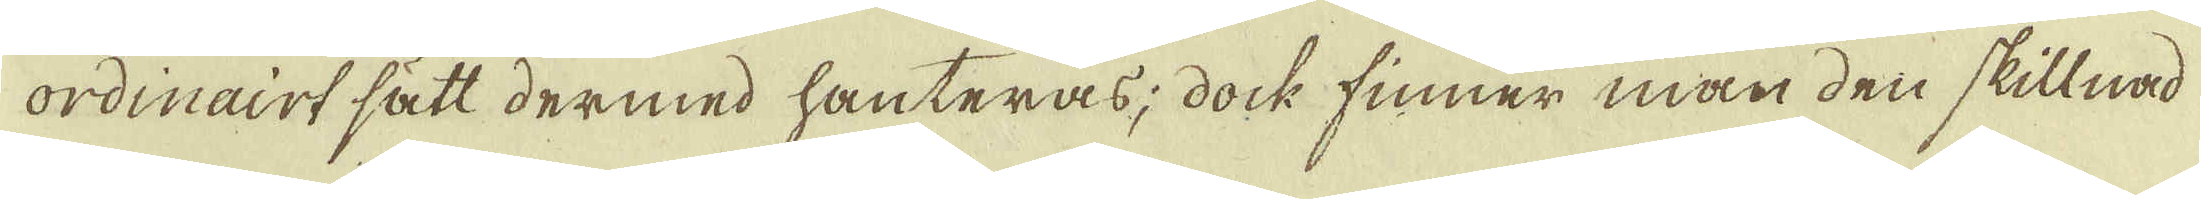ordinairt sätt dermed hanteras; dock finner man den skillnad
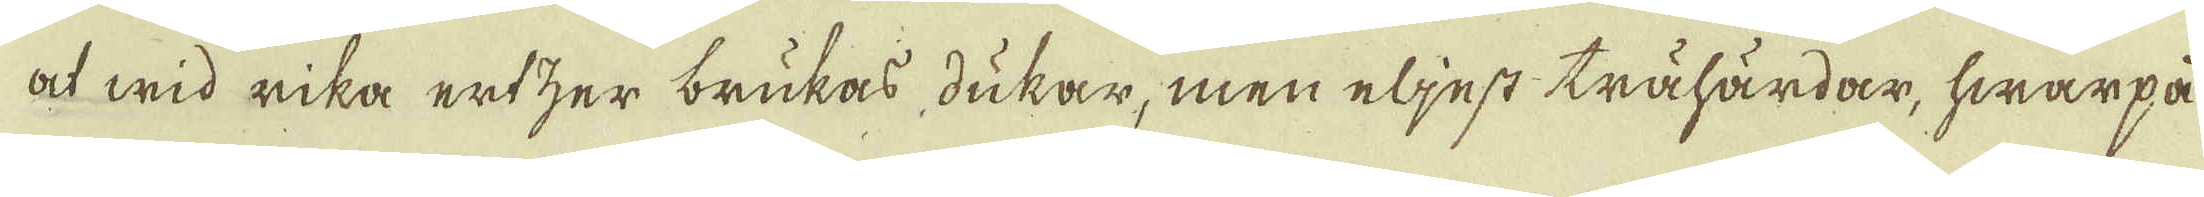at wid rika ertzer brukas dukar, men eljest trähärdar, hwarpå
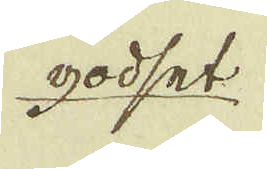godset
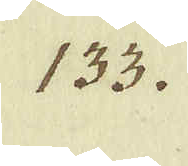133.
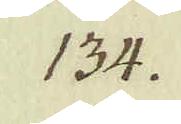134.
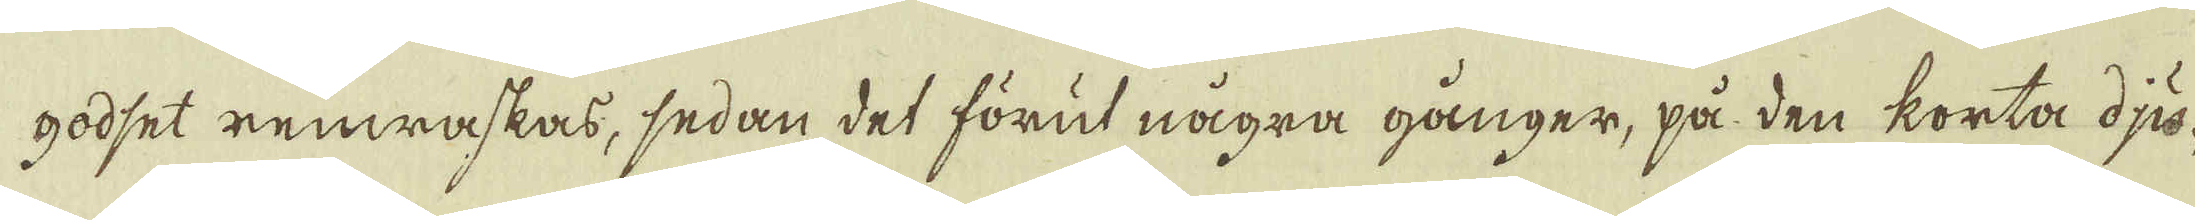godset remwaskas, sedan det förut några gånger, på den korta dju-
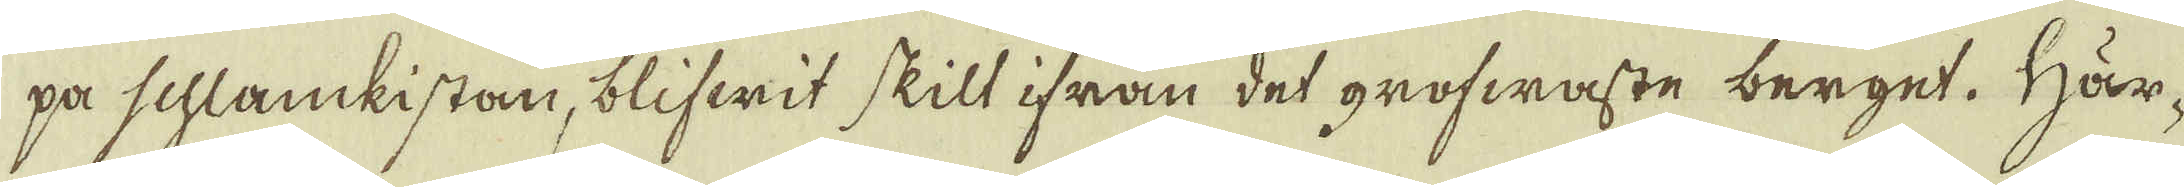pa schlankistan, blifwit skilt ifrån det grofwaste berget. Här-
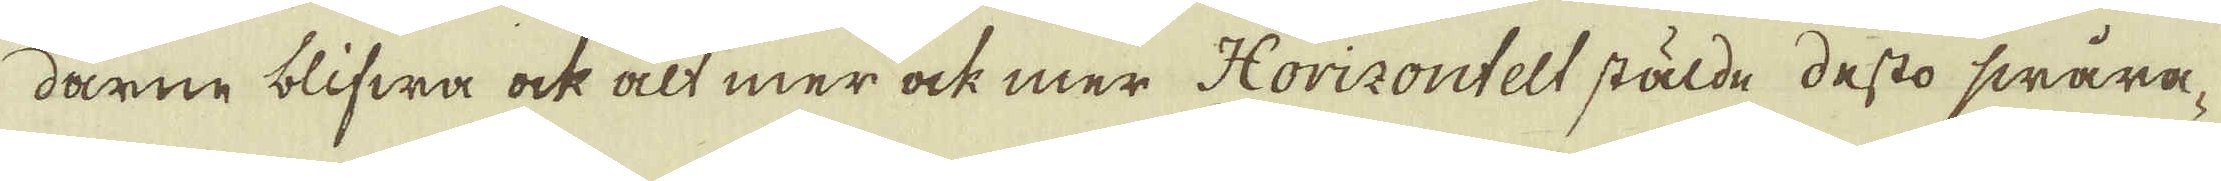darne blifwa ock alt mer ock mer Horizontelt stälde desto swåra-
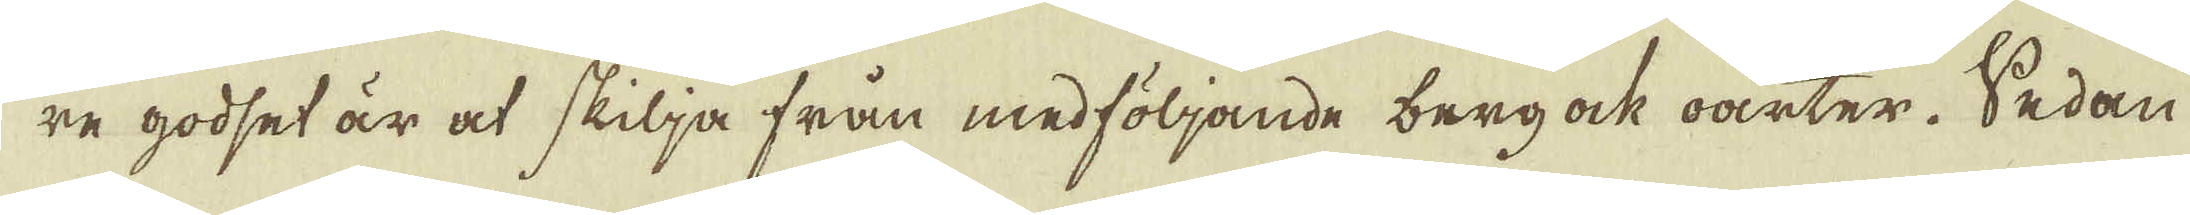re godset är at skilja från medföljande berg ock oarter. Sedan
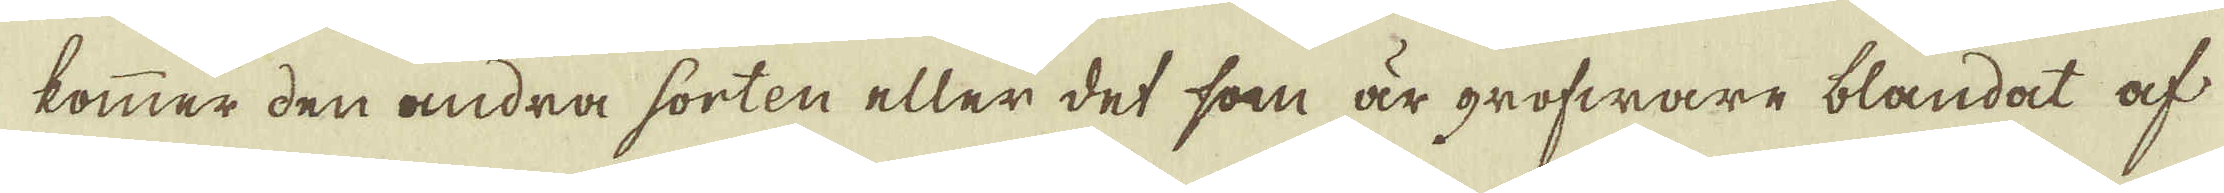kommer den andra sorten eller det som är grofware blandat af
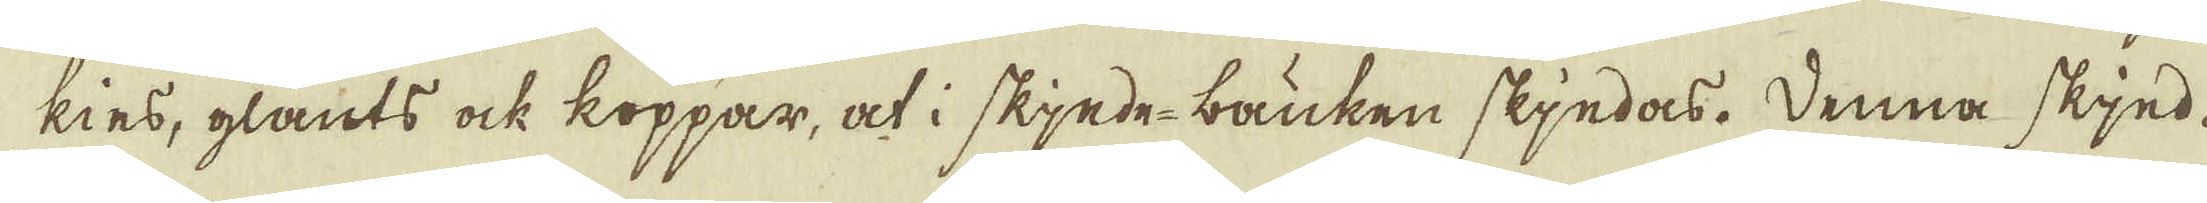kies, glants ock koppar, at i skjede-bauken skjedas. Denna skjed-
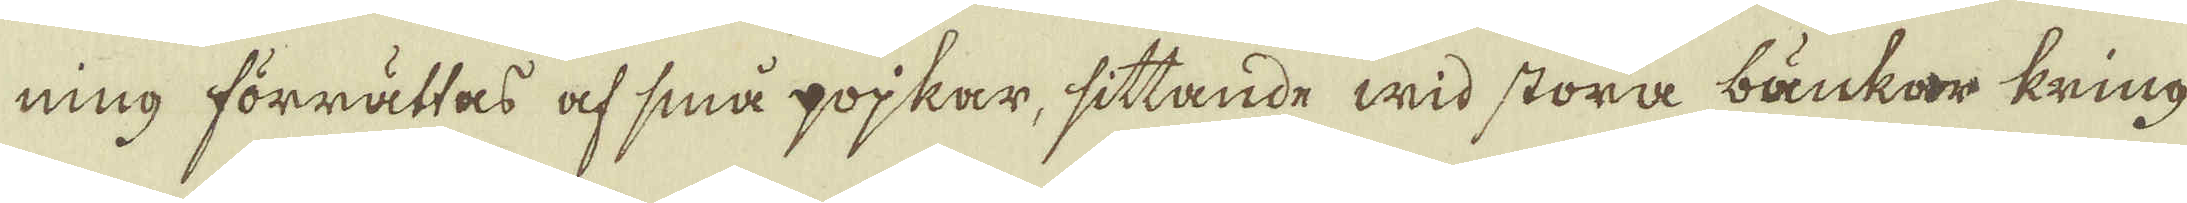ning förrättas af små pojkar, sittande wid stora bänkar kring
